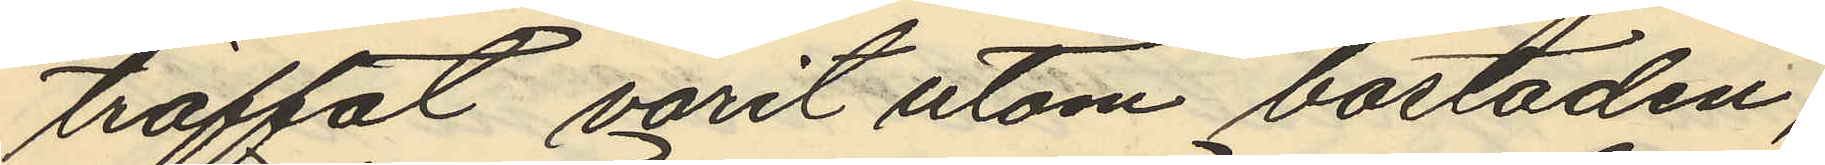träffat varit utom bostaden,
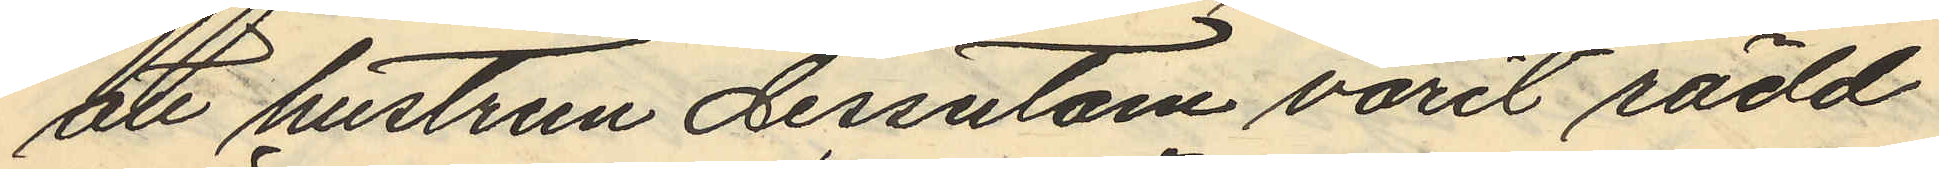att hustrun dessutom varit rädd
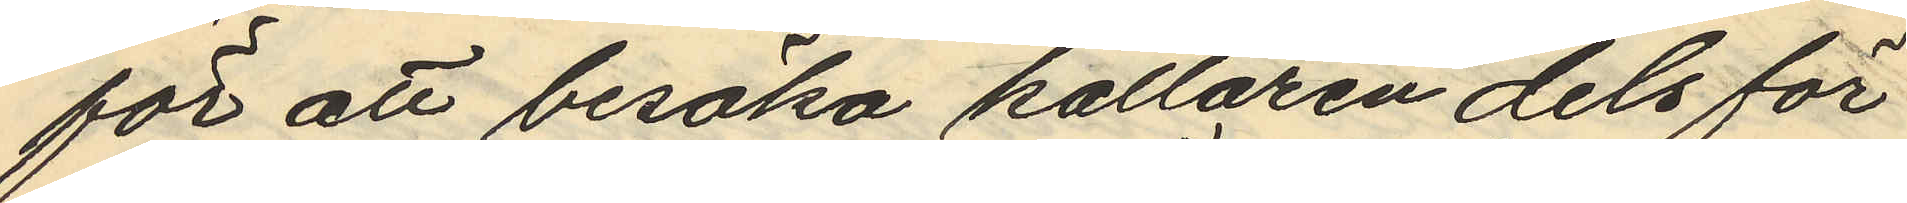för att besöka källaren dels för
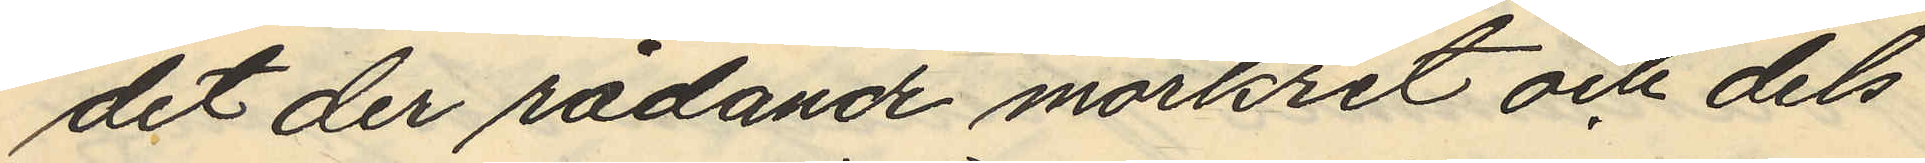det der rådande mörkret och dels
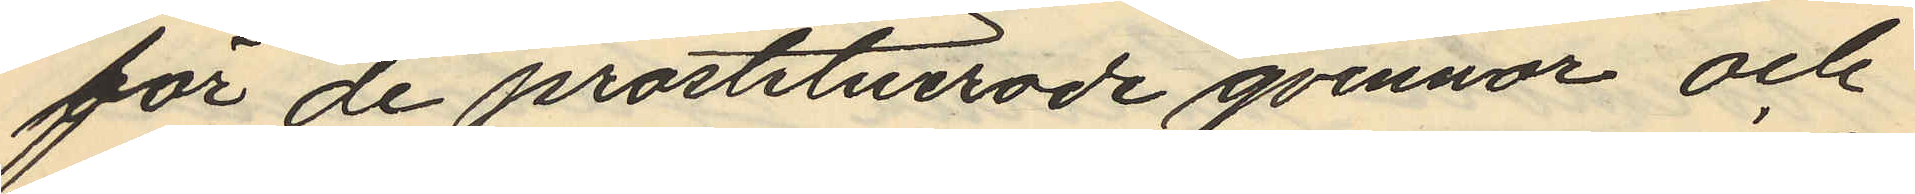för de prostituerade qvinnor och
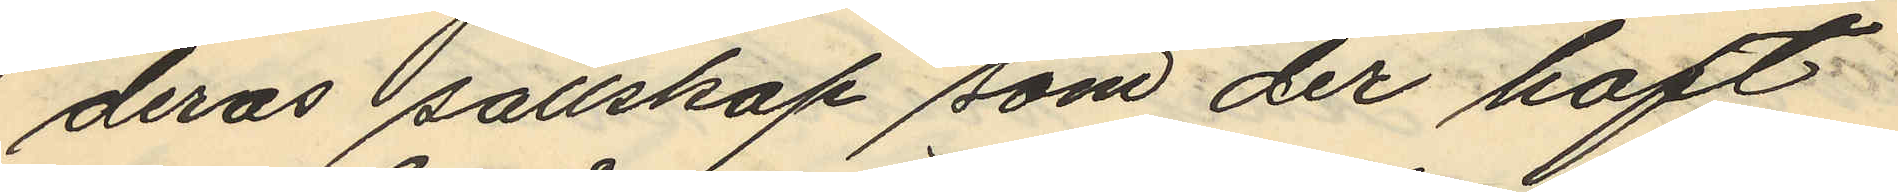deras sällskap som der haft
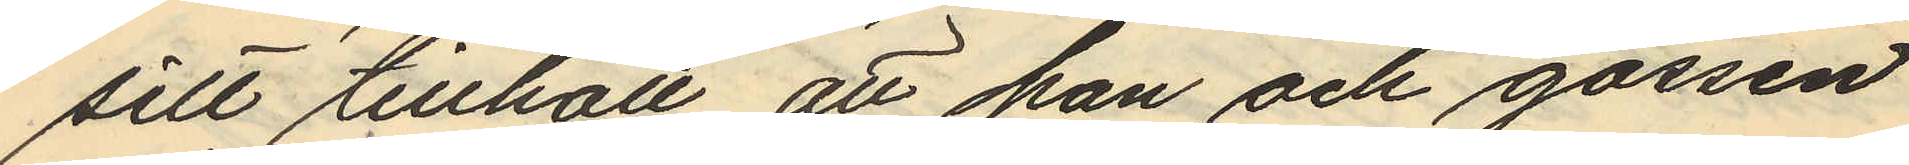sitt tillhåll, att han och gossen
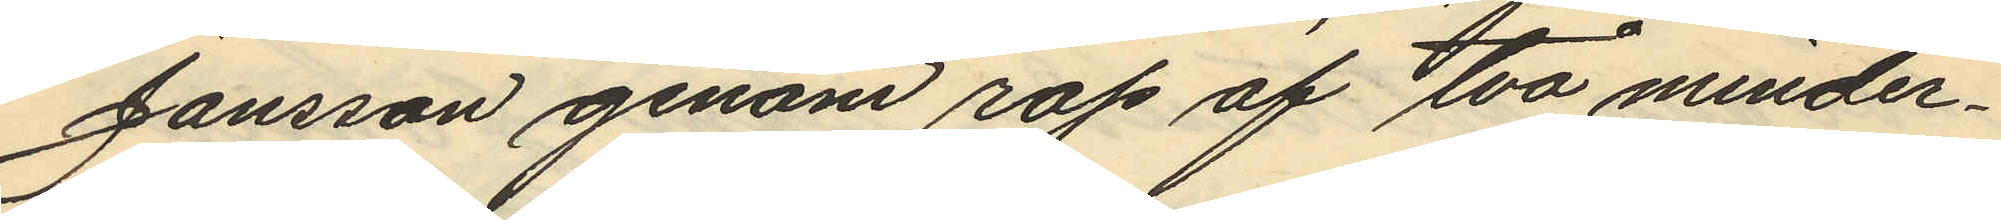Jansson genom rop af två minder¬
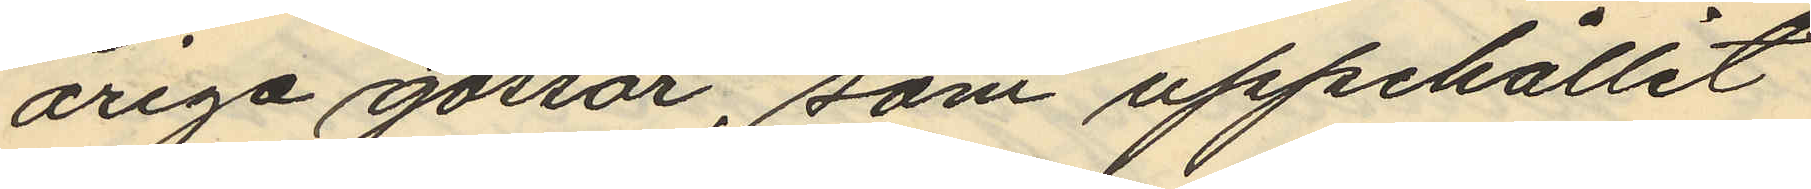åriga gossar, som uppehållit
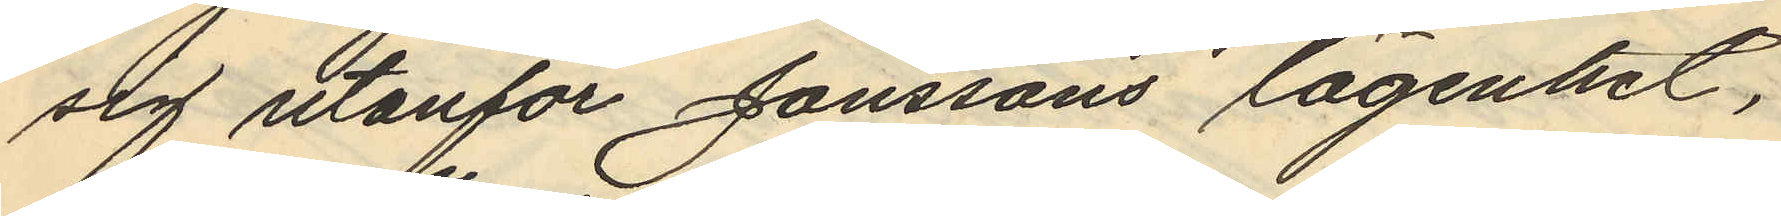sig utanför Janssons lägenhet,
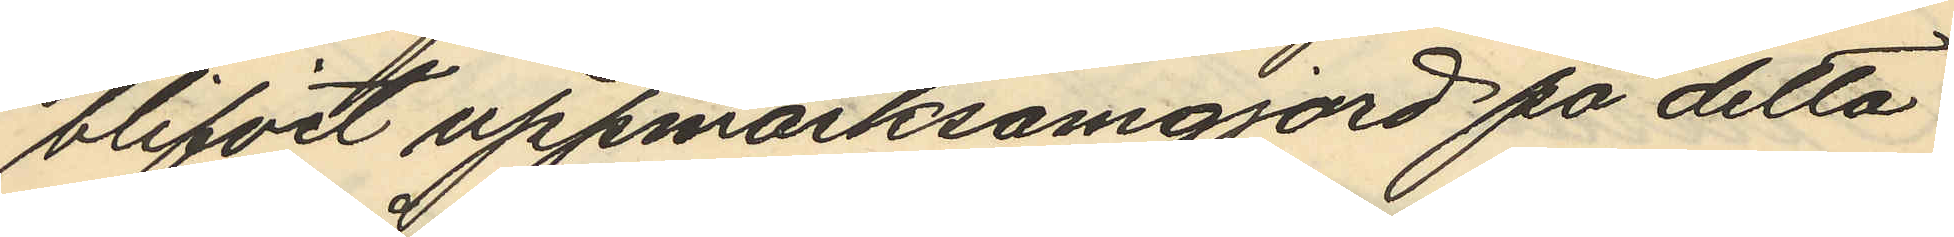blifvit uppmärksamgjord på detta
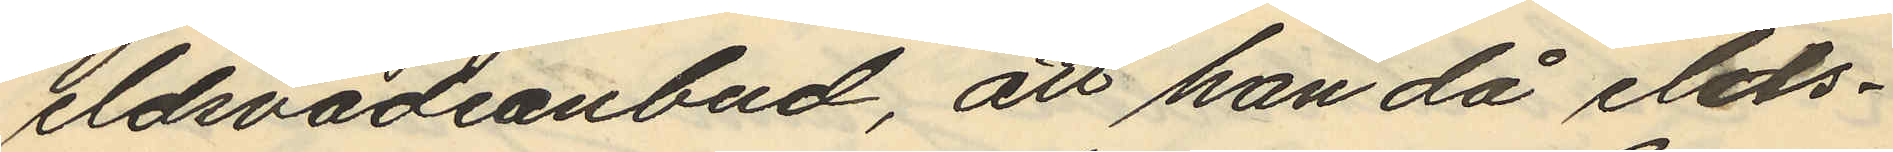eldsvådeanbud, att han då elds¬
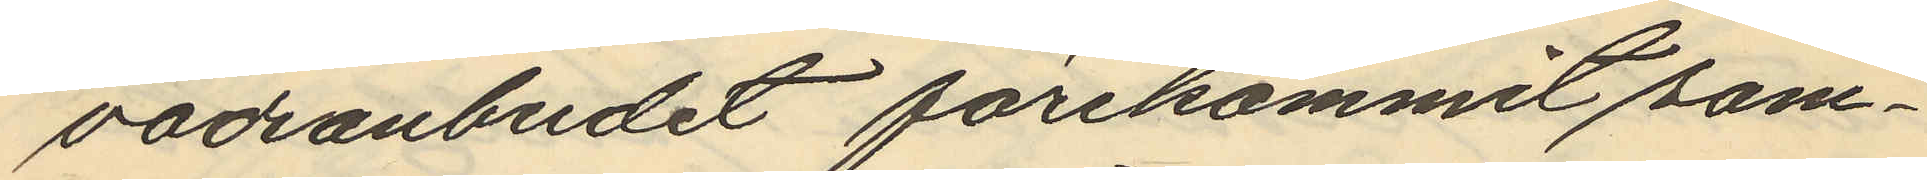vådanbudet förekommit sam¬
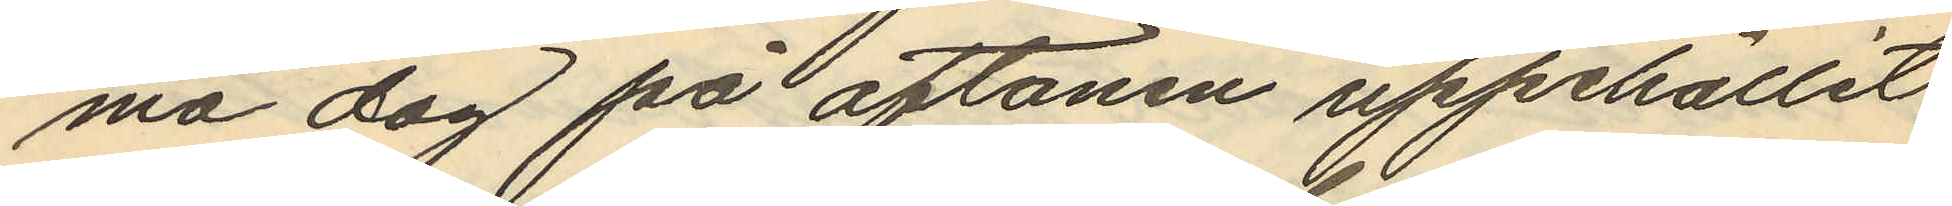ma dag på aftonen uppehållit
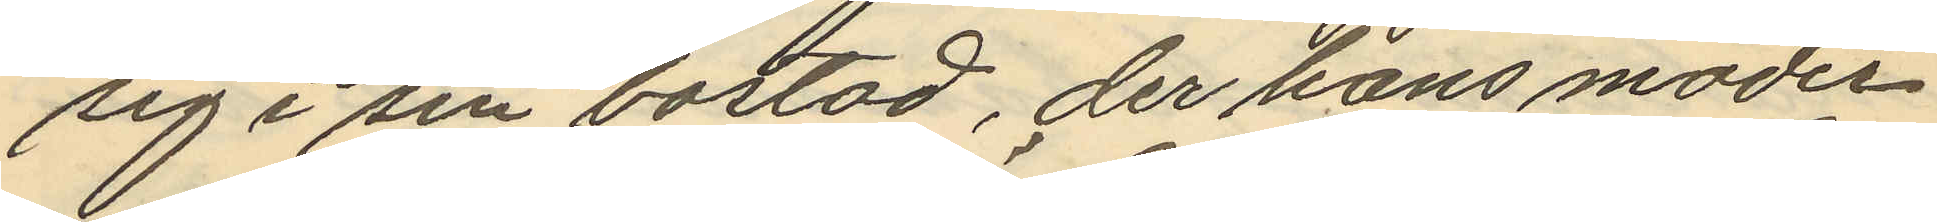sig i sin bostad, der hans moder
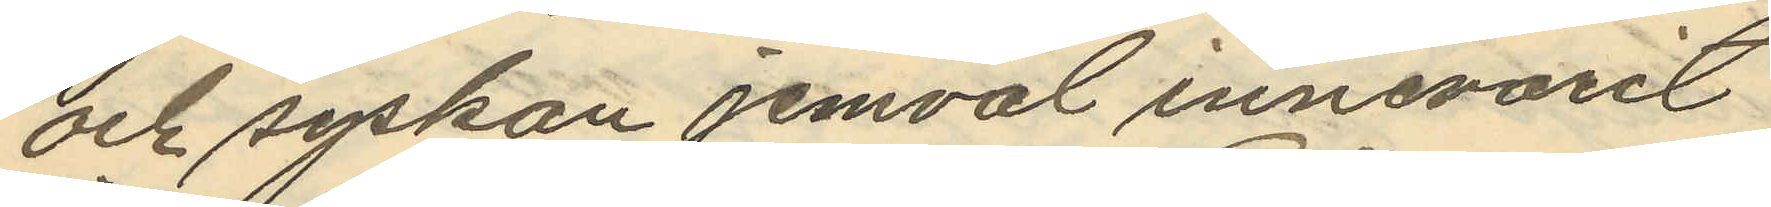och syskon jemväl innevarit
